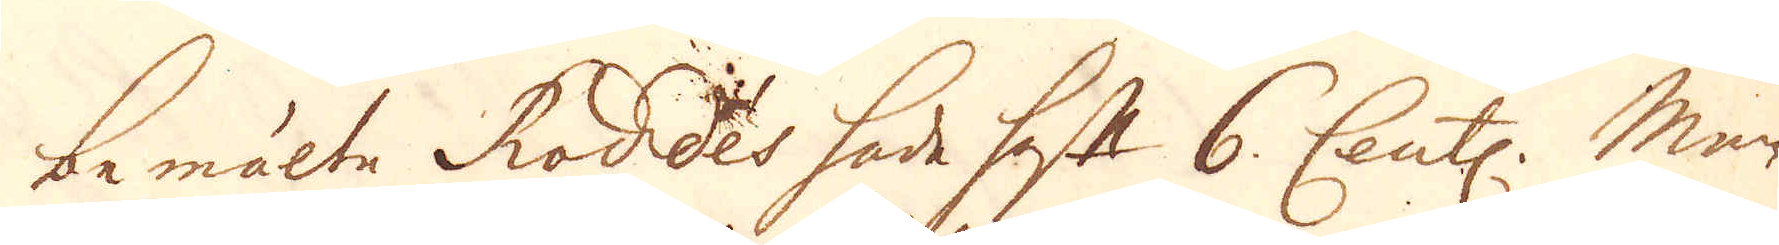bemälte Roddes hade haft 6. Cent:. Men
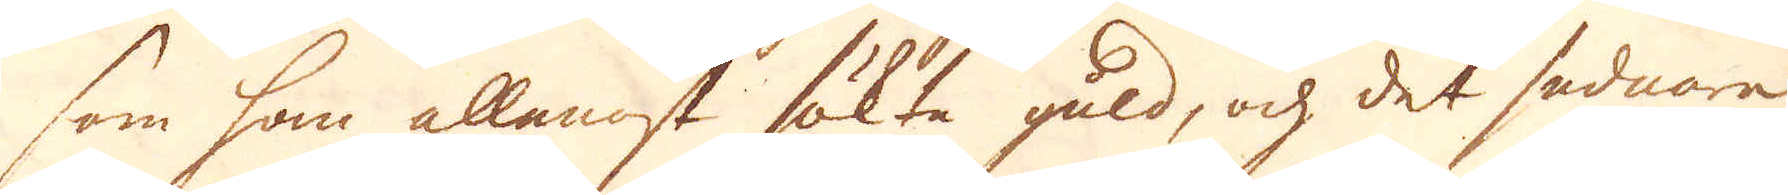som han allenast sökte guld, och det sednare
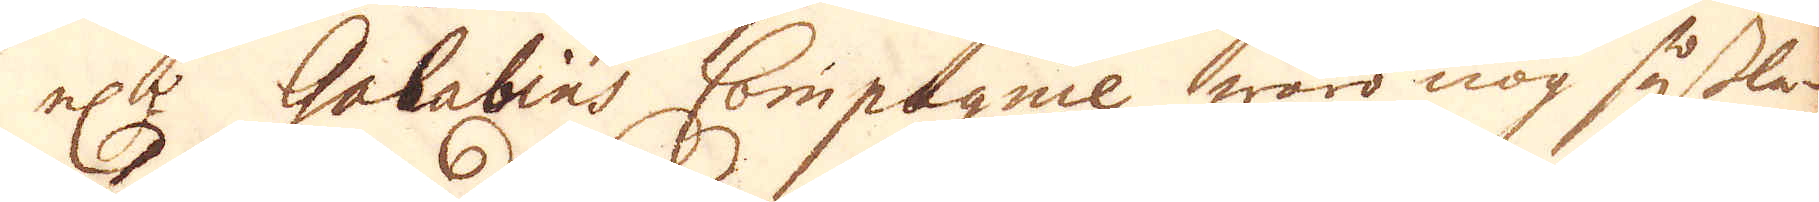el:r Galabins Compagnie woro nog såslo-
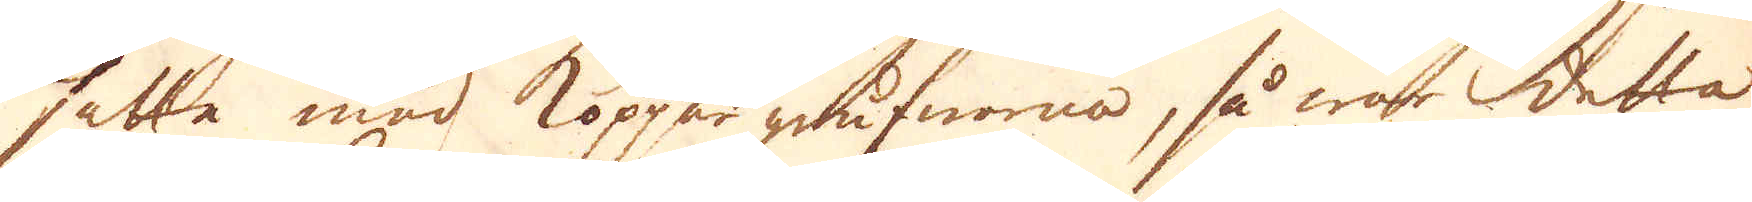sätte med kopper grufworna, så war detta
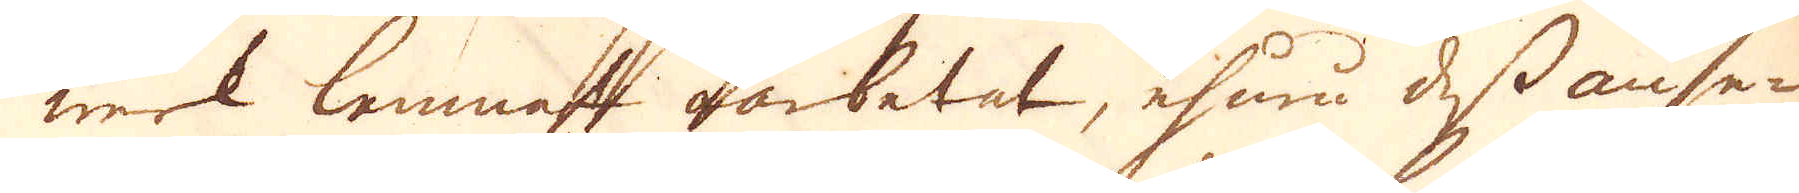werk lemnat oarbetat, ehuru dess anse-
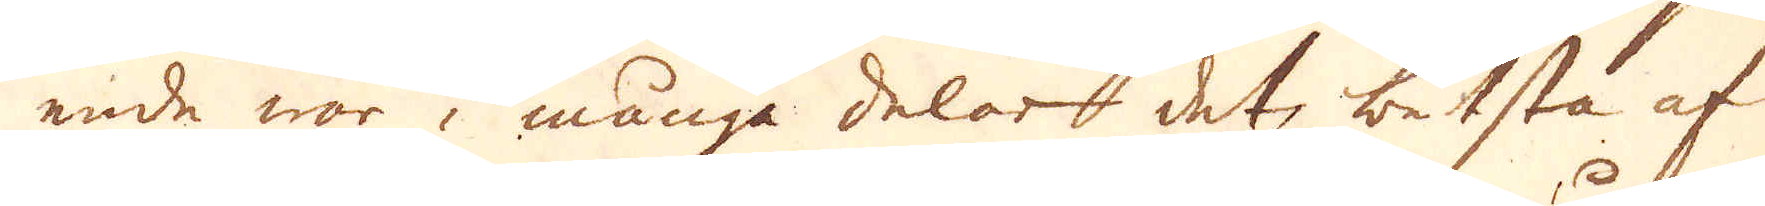ende war i många delar det besta af
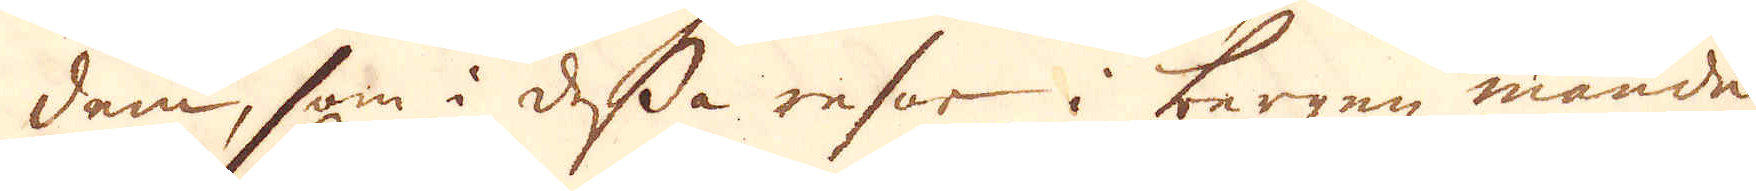dem, som i dessa resor i bergen månde
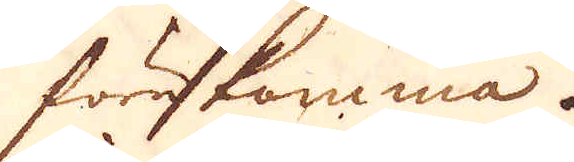förekomma.
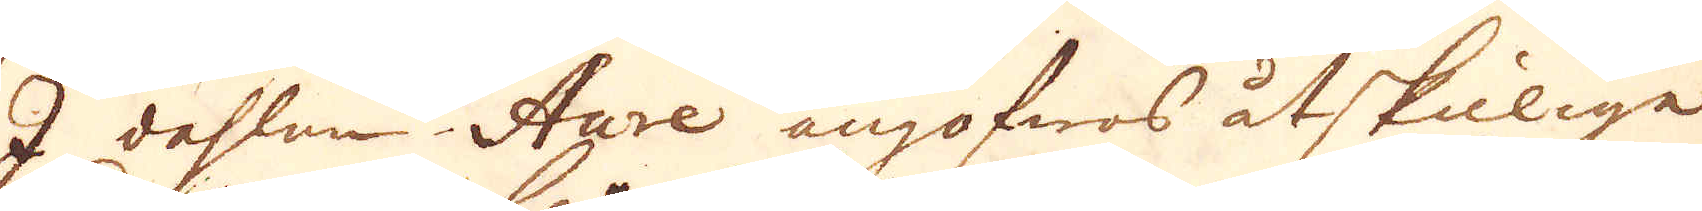I dahlen Aure angofwos åtskiilige
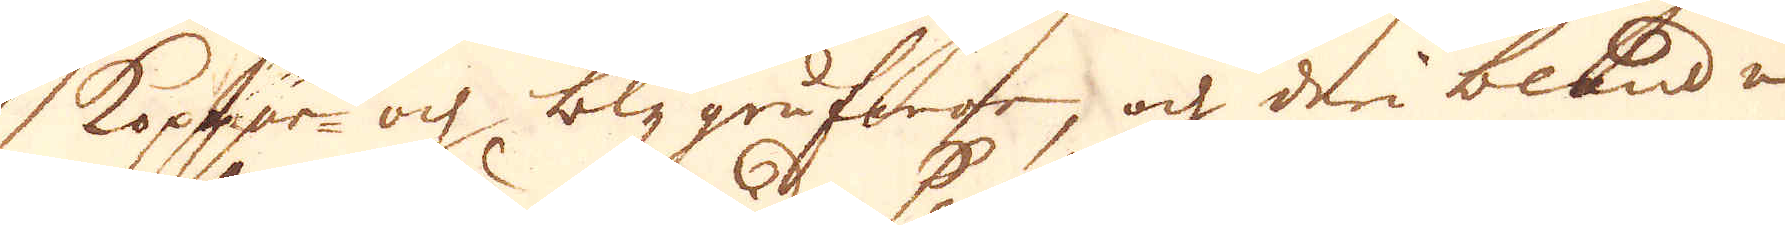Koppar- och blygrufwor, och deriblanda
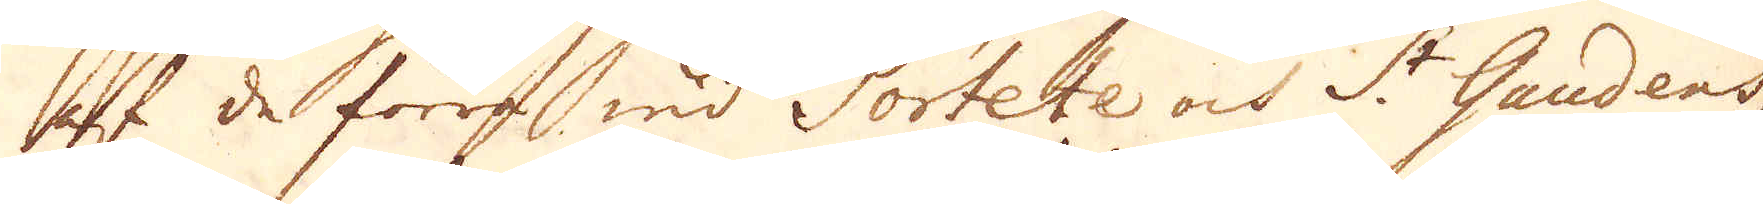af de förra wid Portete och St Gandens
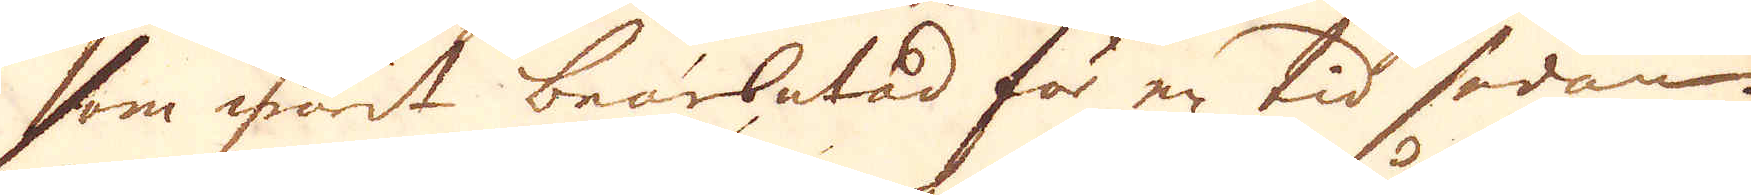som warit bearbetad för en tid sedan.
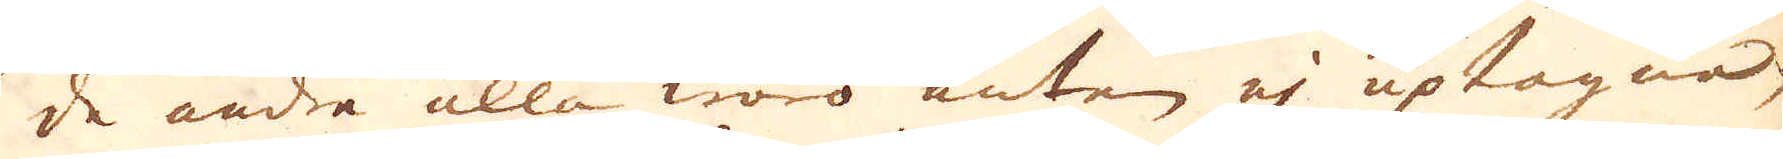De andra alla woro anten ej uptagna,
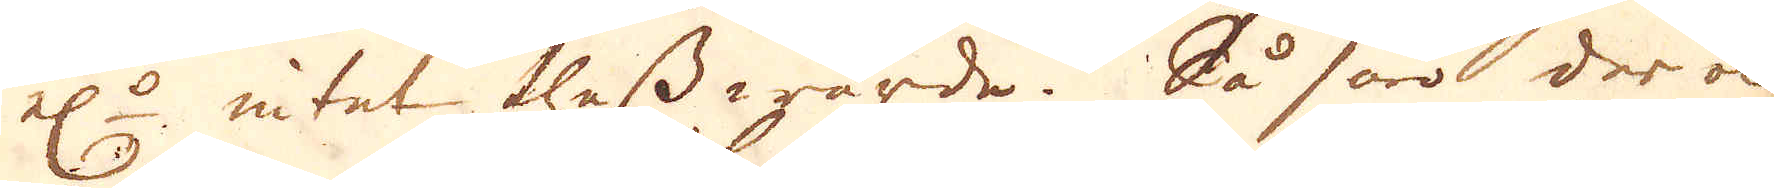el:rr intet thess wärde. Så äro der och
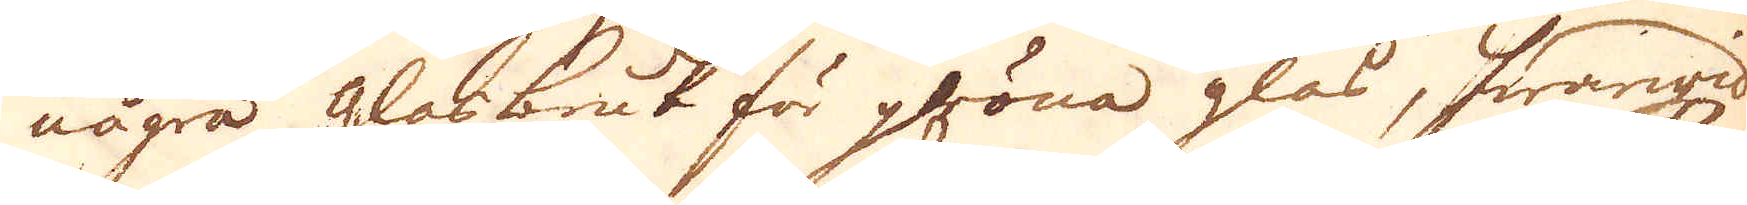några glasbruk för gröna glas, hwarwid
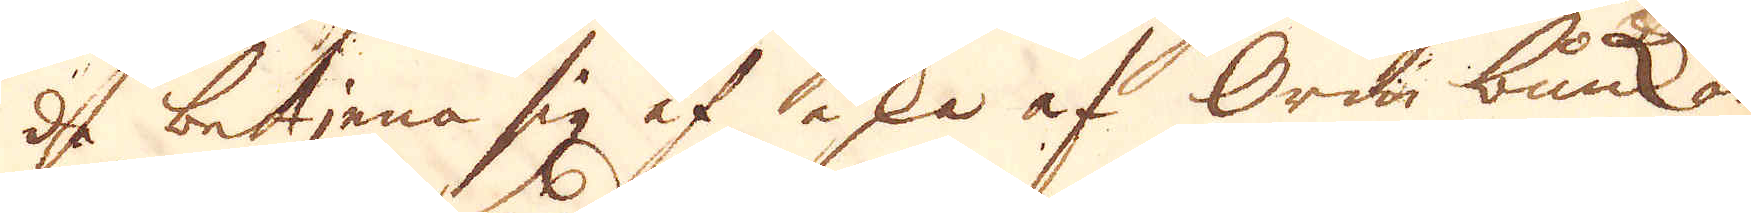de betjena sig af aska af Orm bunkar
